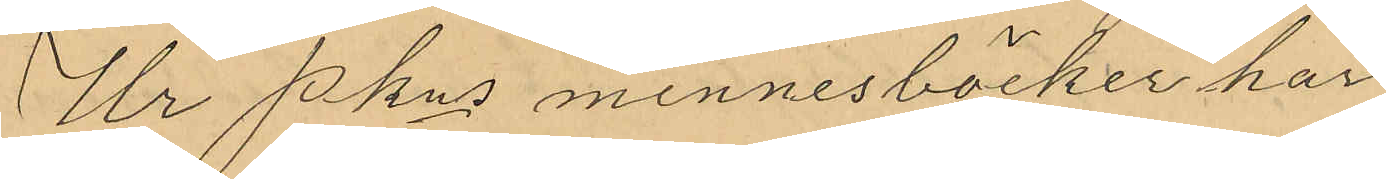Ur Pkns minnesböcker har
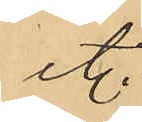et.
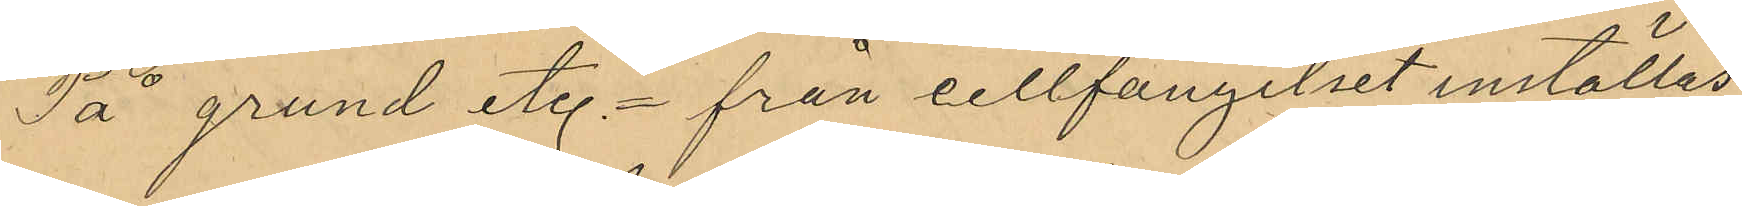På grund et. från cellfängelset inställas.
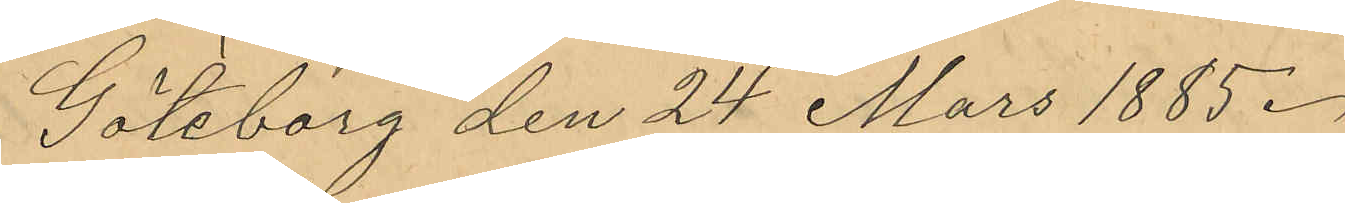Göteborg den 24 Mars 1885.
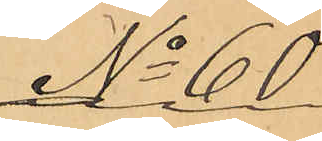No 60
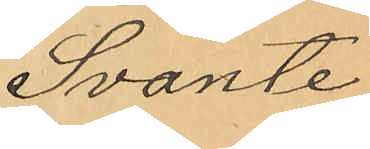Svante
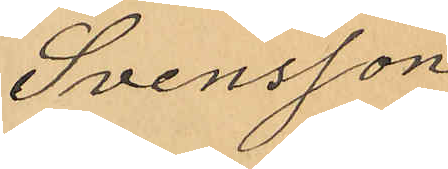Svensson
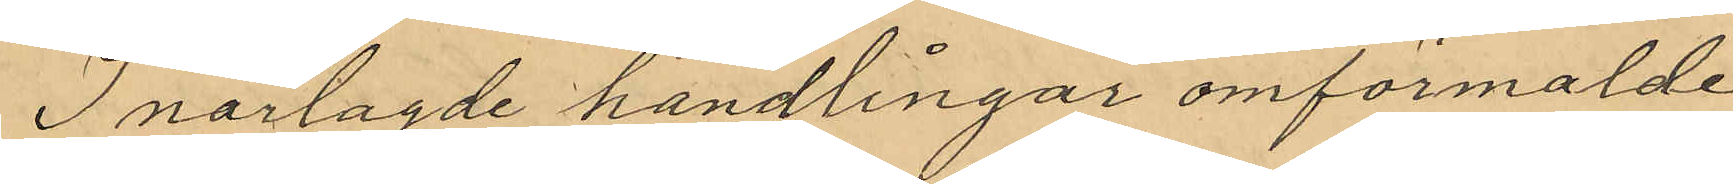I närlagde handlingar omförmalde
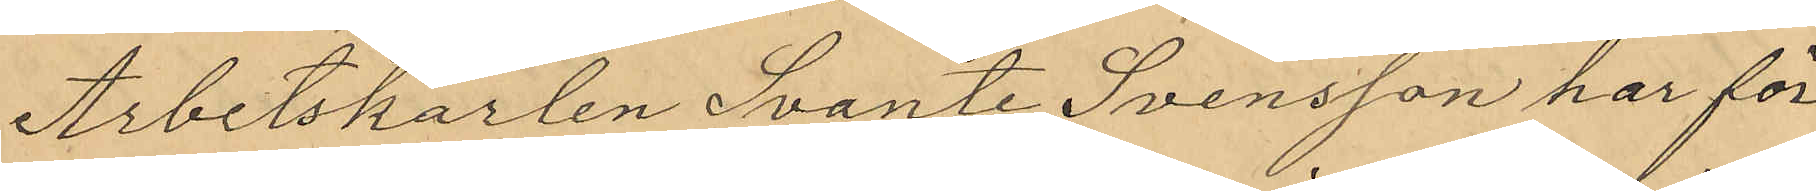Arbetskarlen Svante Svensson har för
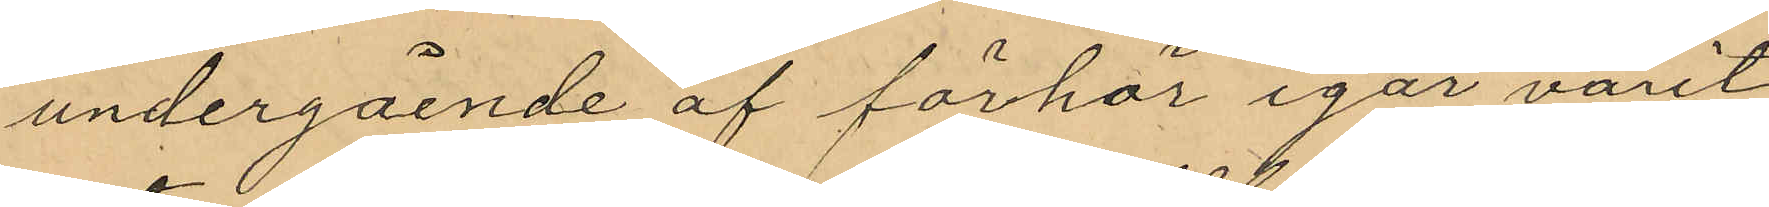undergående af förhör igår varit
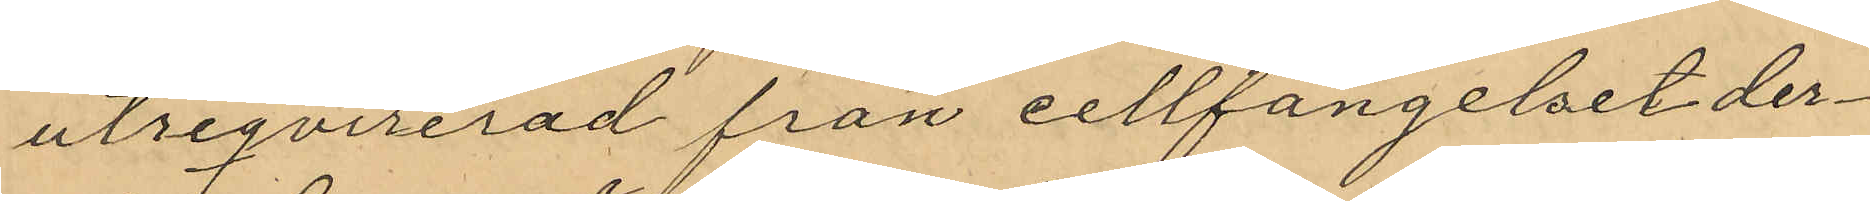utreqvirerad från cellfängelset der¬
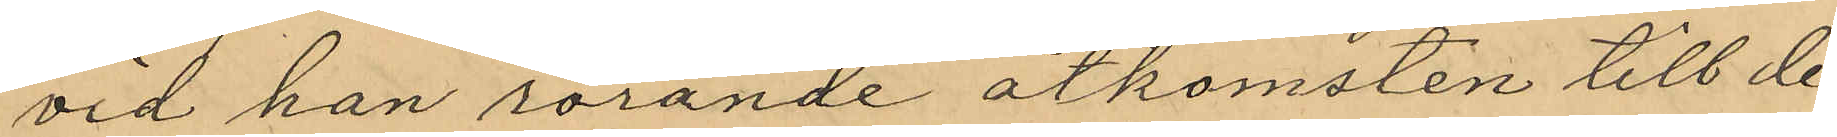vid han rörande åtkomsten till de
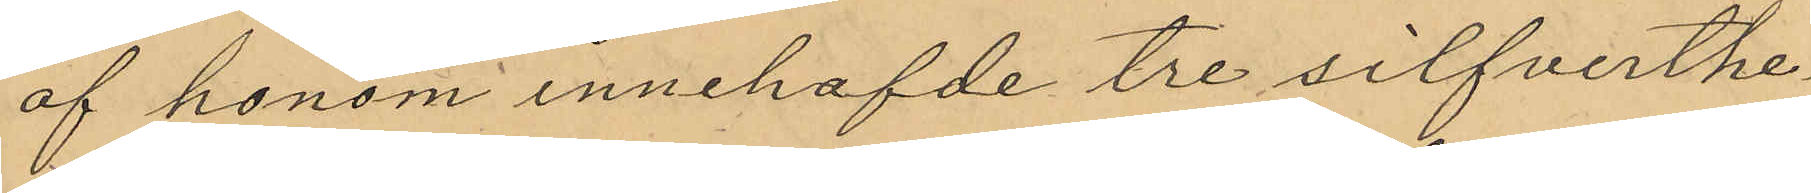af honom innehafde tre silfverthe¬
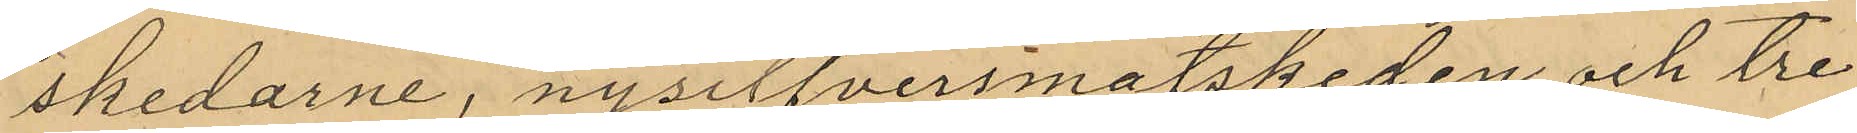skedarne, nysilfversmatskeden och tre
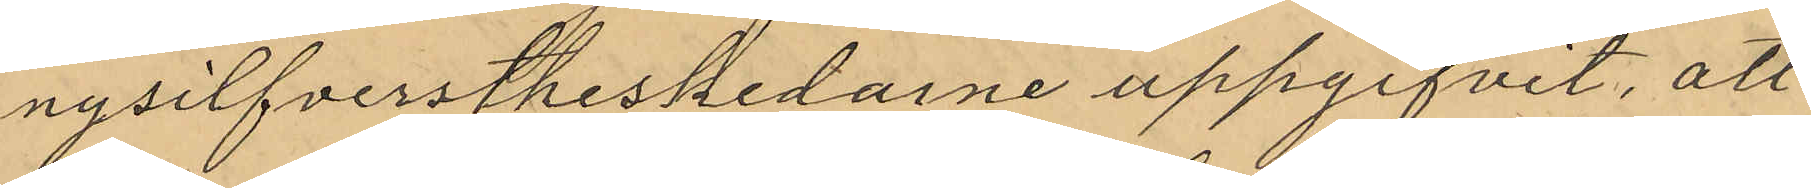nysilfverstheskedarne uppgifvit, att
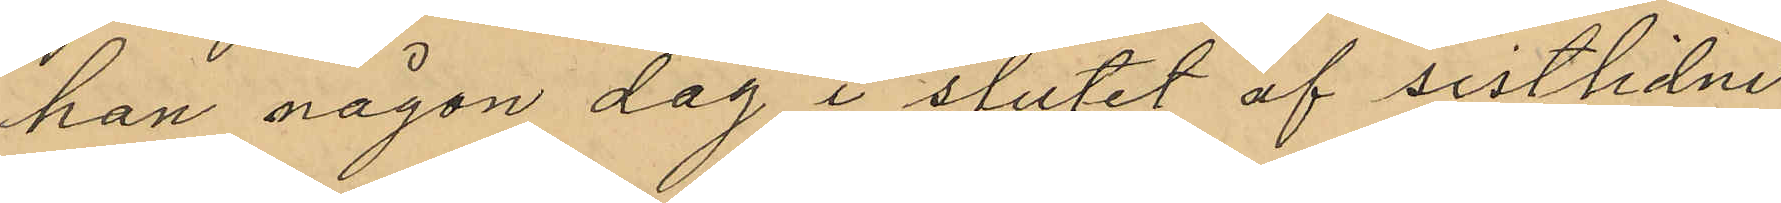han någon dag i slutet af sistlidne
